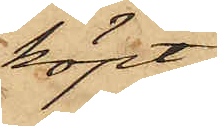köpt
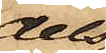dels
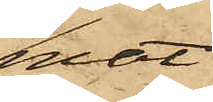mat
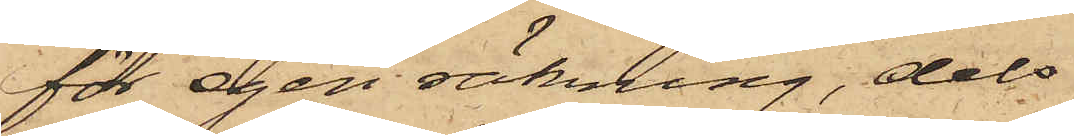för egen räkning, dels
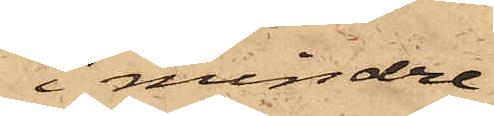i mindre
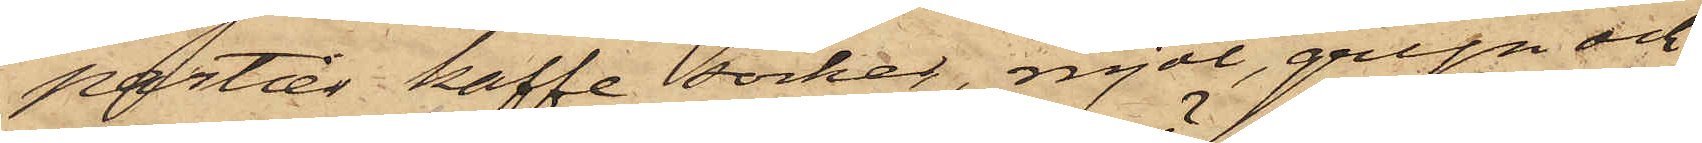partier kaffe, socker, mjöl, gryn och
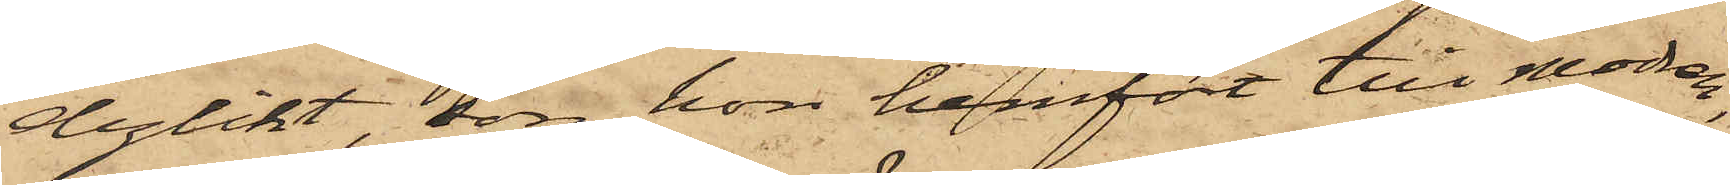dylikt, som hon hemfört till modren,
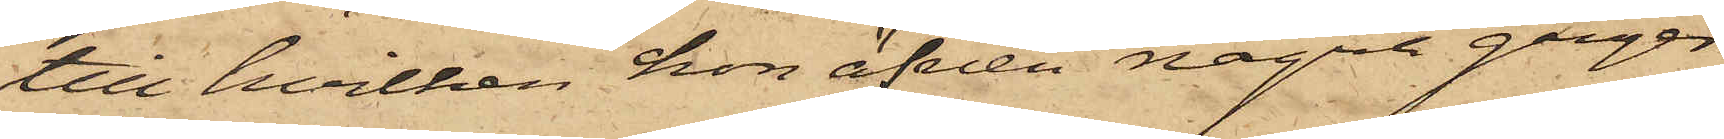till hvilken hon äfven några gånger
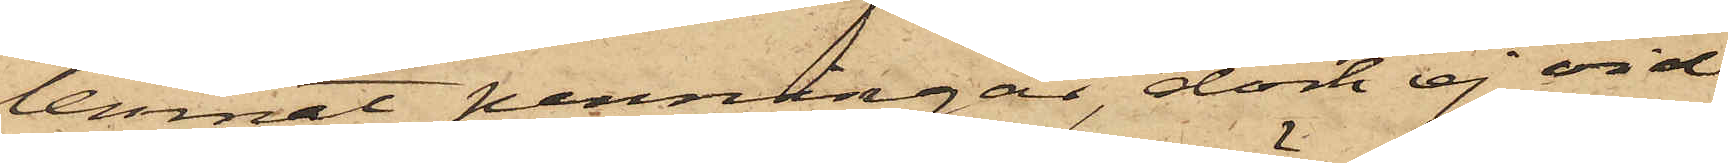lemnat penningar, dock ej vid
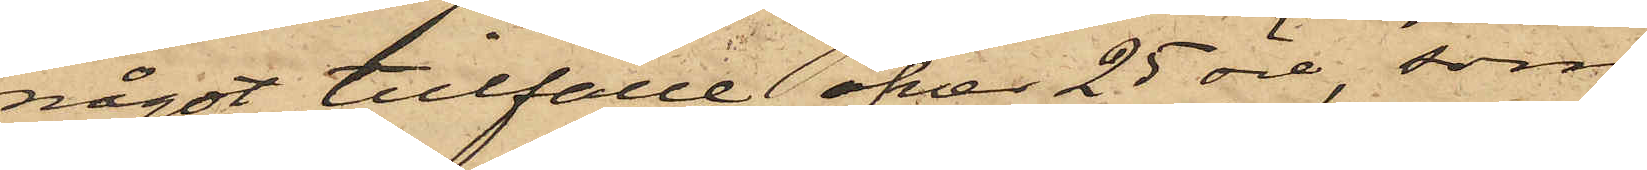något tillfälle öfver 25 öre, som
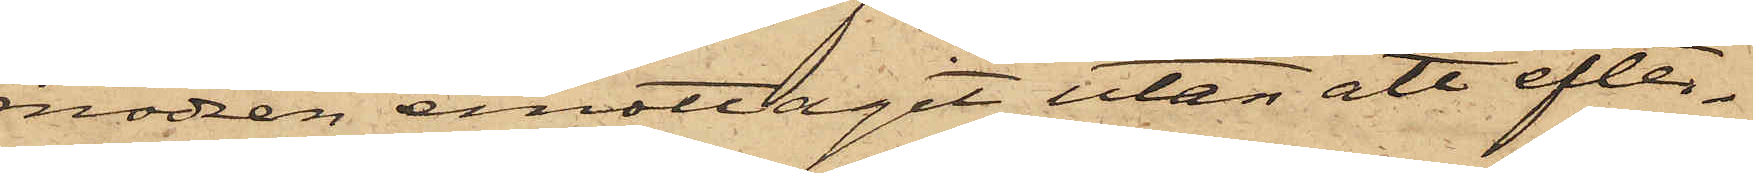modren emottagit utan att efter¬
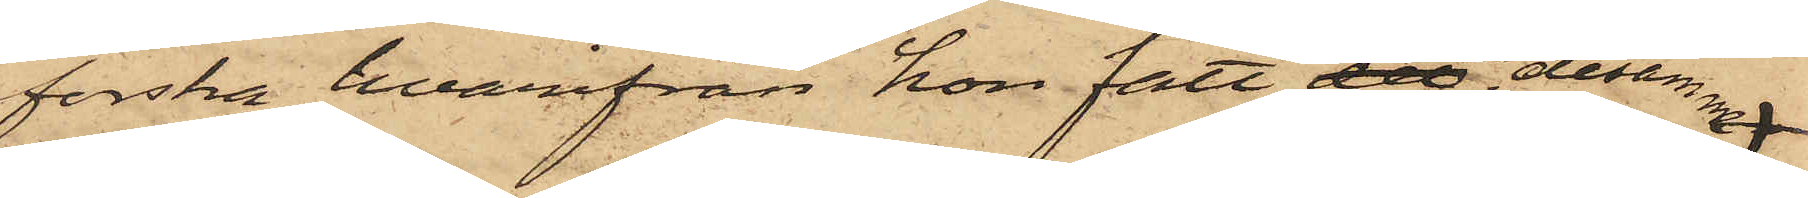forska, hvarifrån hon fått det desamma
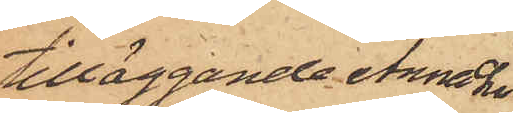tilläggande Anna Lisa
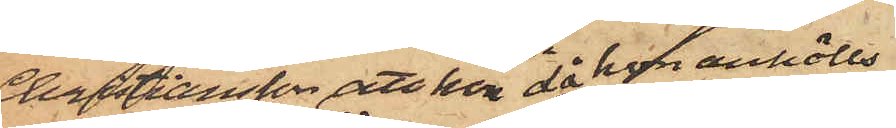Christiansson, att hon då hon anhölls
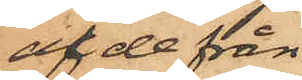af de från
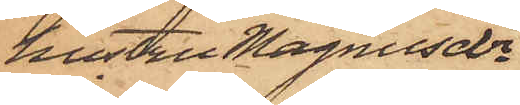hustru Magnusdr
